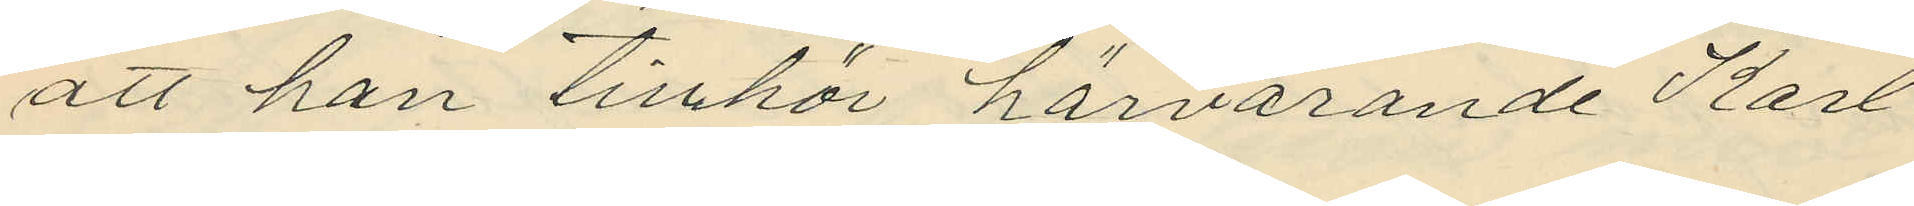att han tillhör härvarande Karl
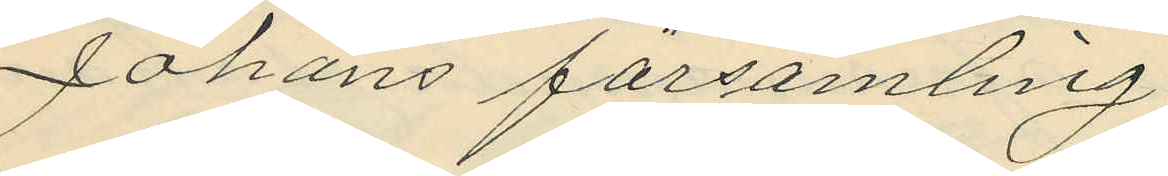Johans församling.
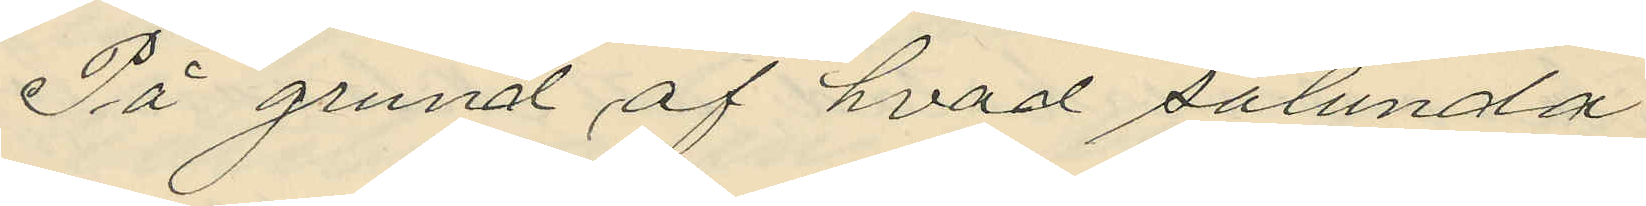På grund af hvad sålunda
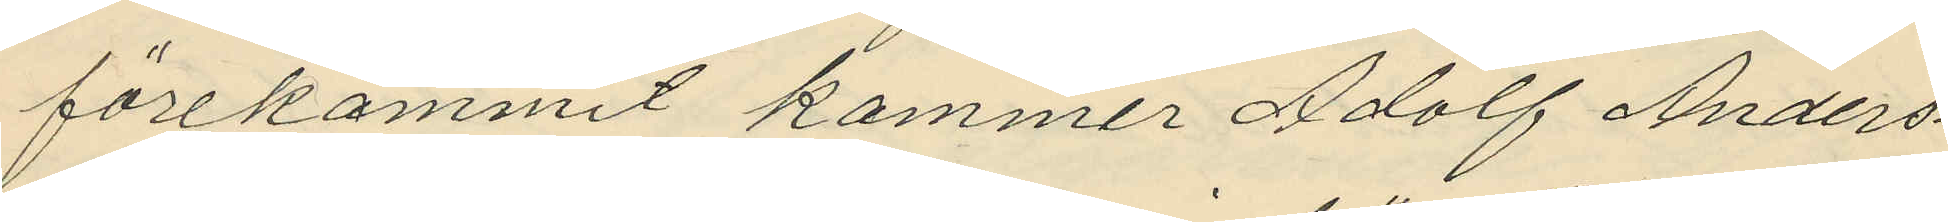förekommit kommer Adolf Anders¬
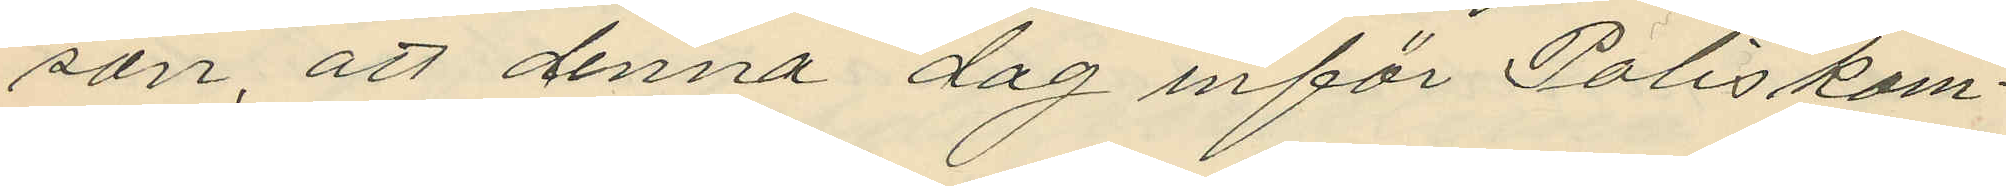son, att denna dag inför Poliskam¬
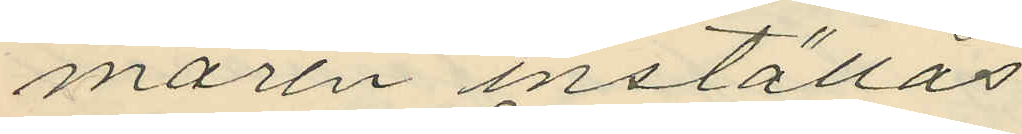maren inställas
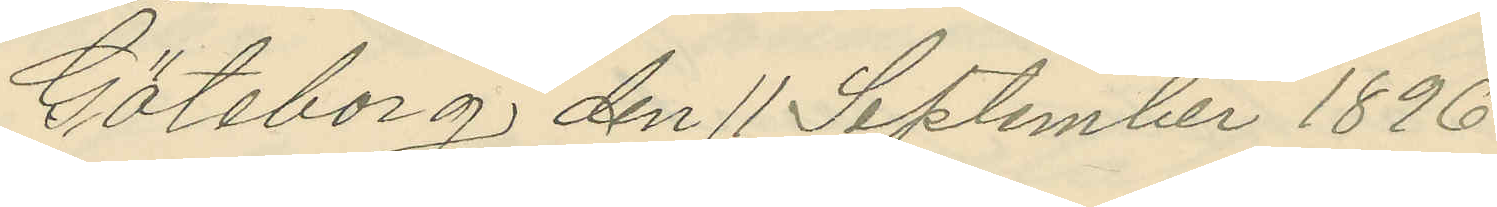Göteborg den 11 September 1896.
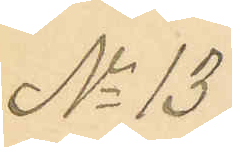No 137
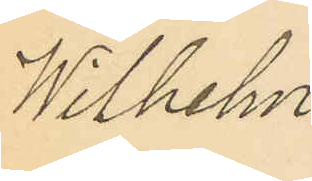Wilhelm
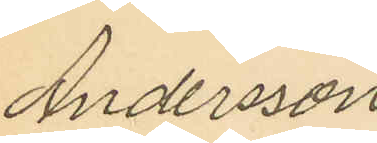Andersson,
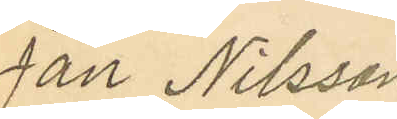Jan Nilsson
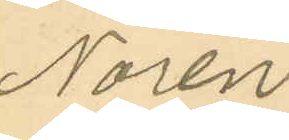Norén,
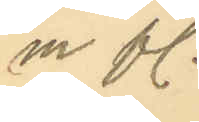m fl.
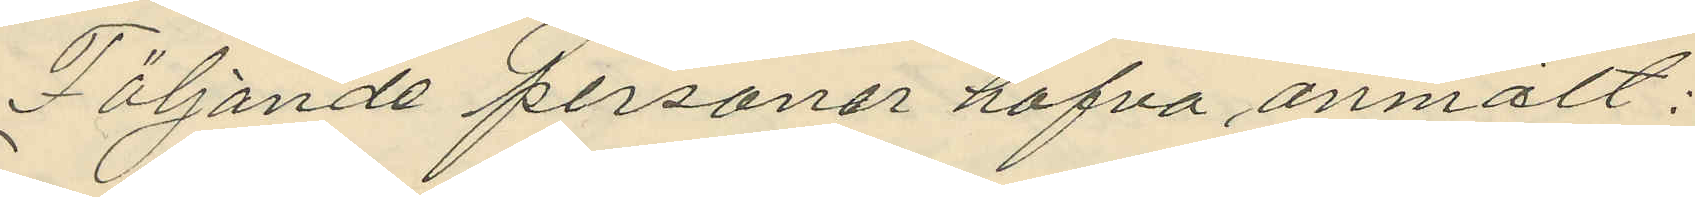Följande personer hafva anmält:
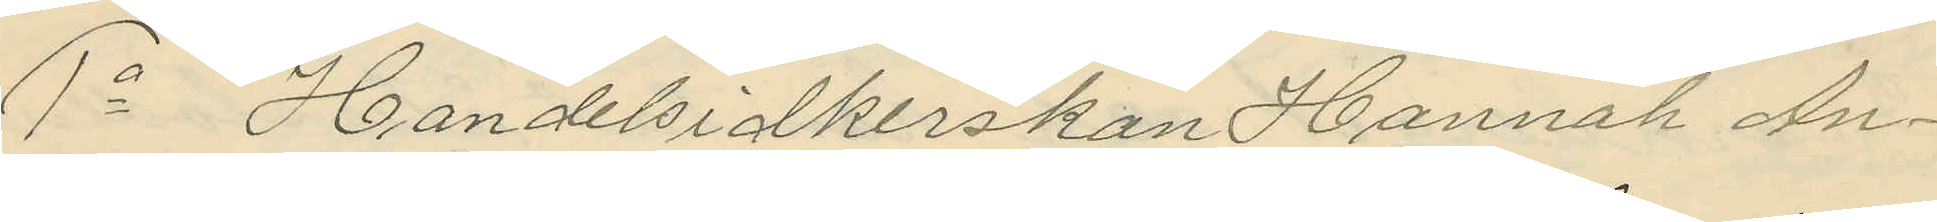1o Handelsidkerskan Hannah An¬
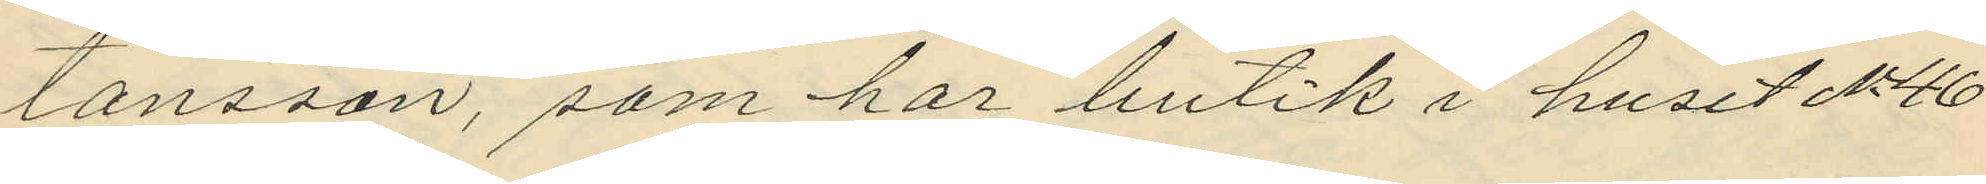tonsson, som har butik i huset No 46
